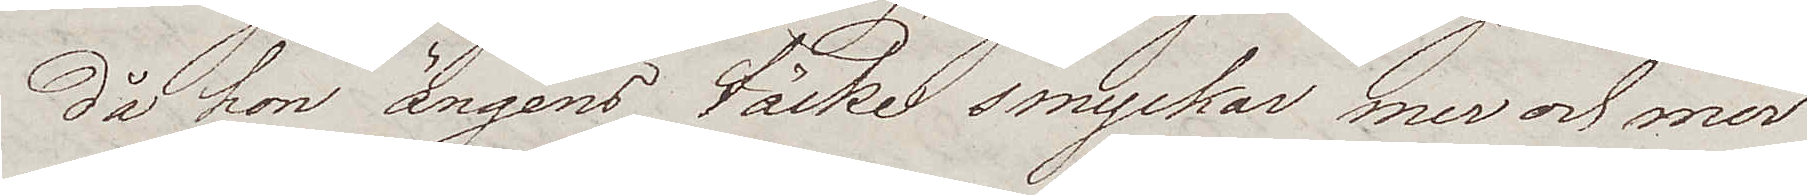då hon ängens täcke smyckar mer och mer
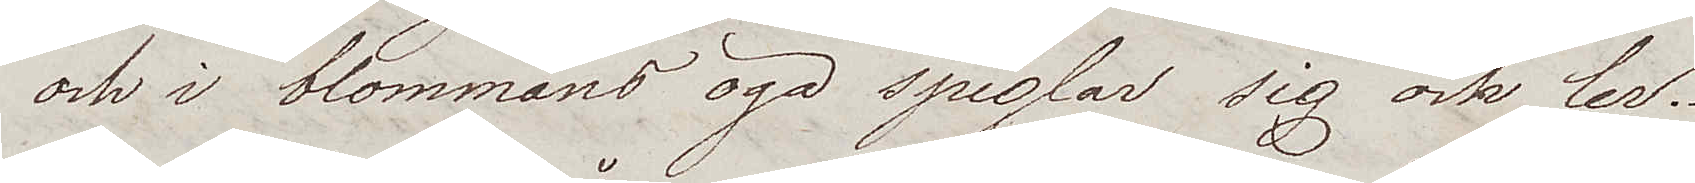och i blommans öga speglar sig och ler.
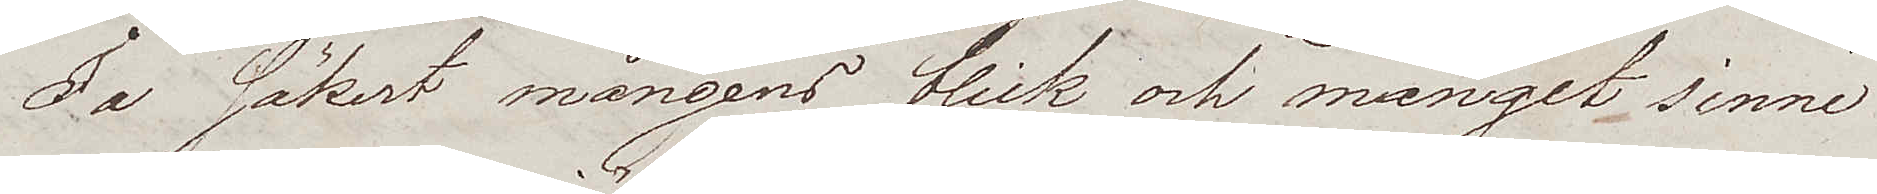Ja säkert mångens blick och månget sinne
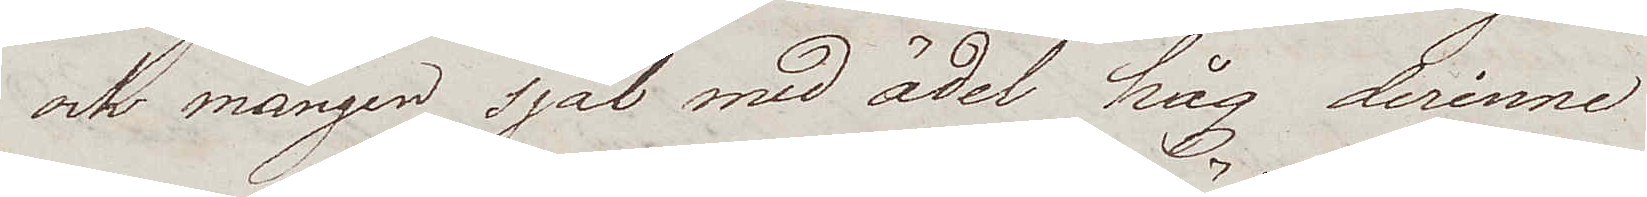och mången själ med ädel håg derinne
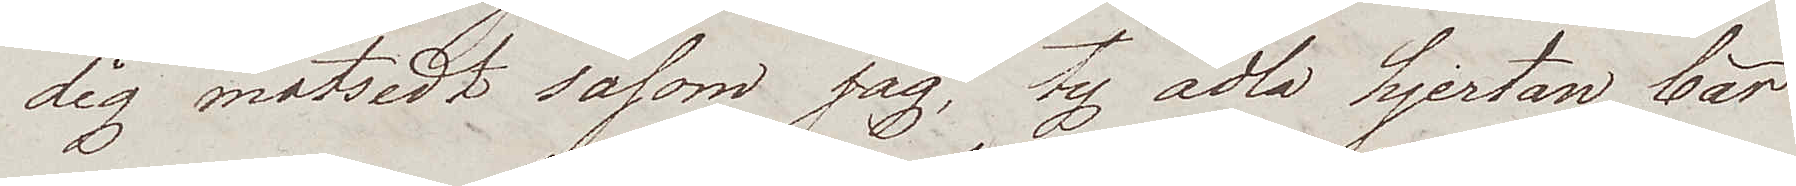dig motsedt såsom jag, ty ädla hjertan bär
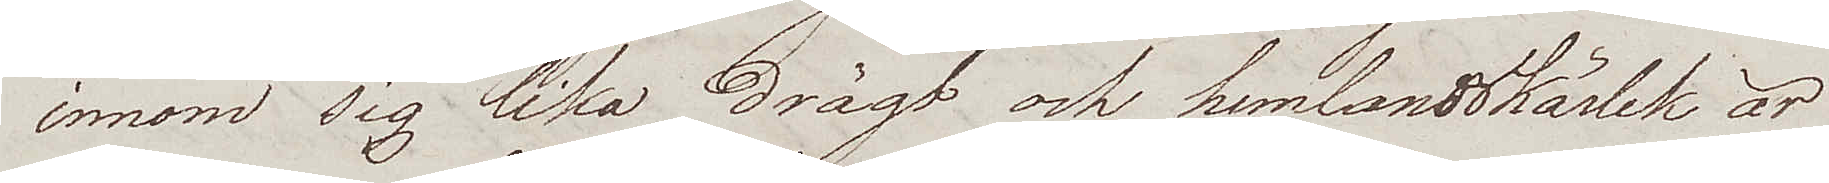innom sig lika drägt och hemlandskärlek är
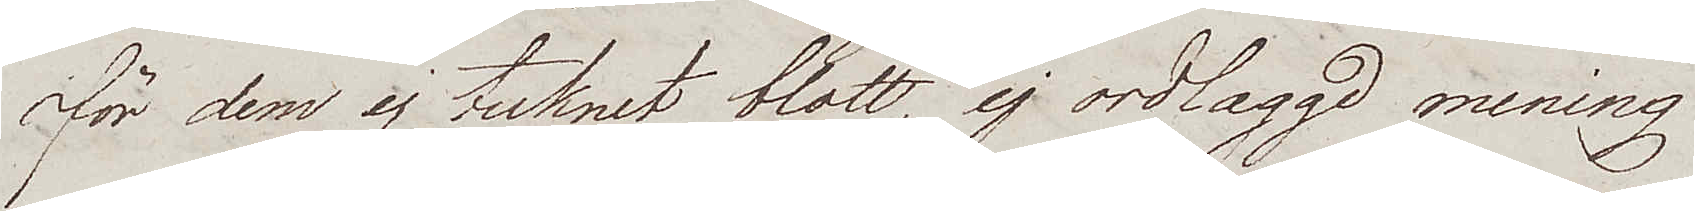för dem ej tecknet blott, ej ordlaggd mening
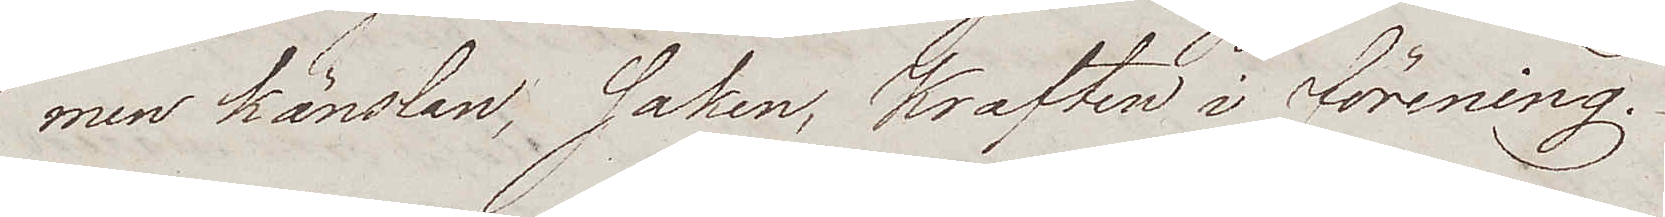men känslan, saken, kraften i förening.
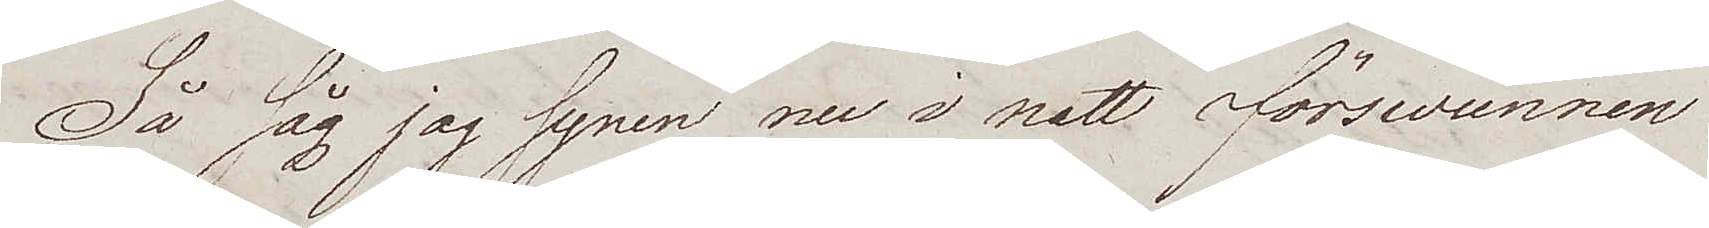Så såg jag synen nu i natt förswunnen
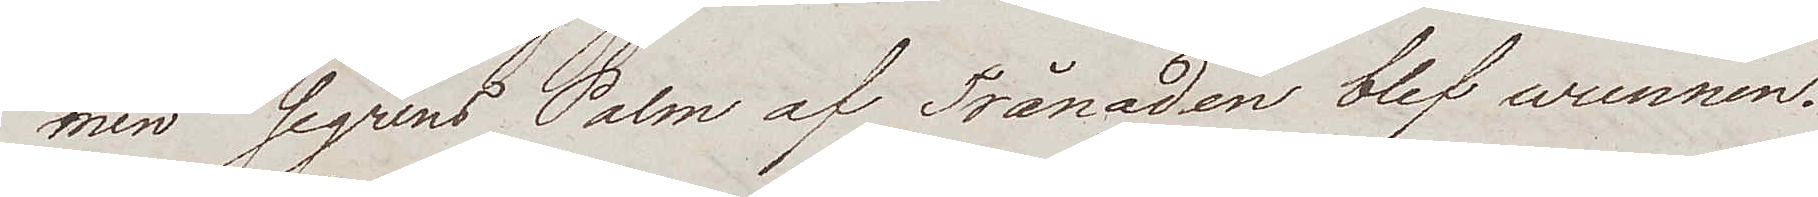men segrens Palm af Trånaden blef wunnen.
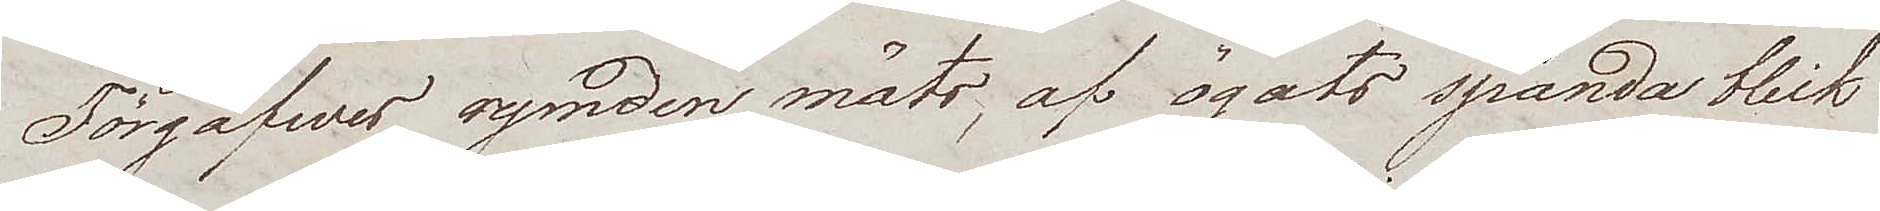Förgäfwes rymden mäts, af ögats spända blick
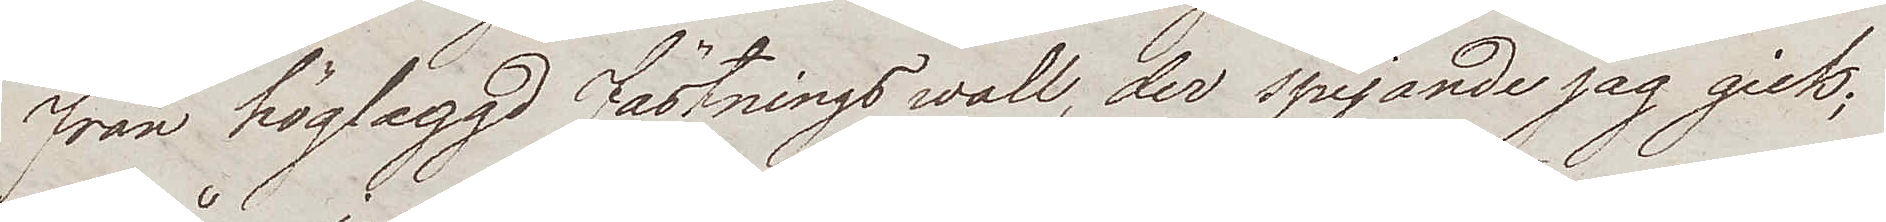från höglaggd fästningswall, der spejande jag gick;
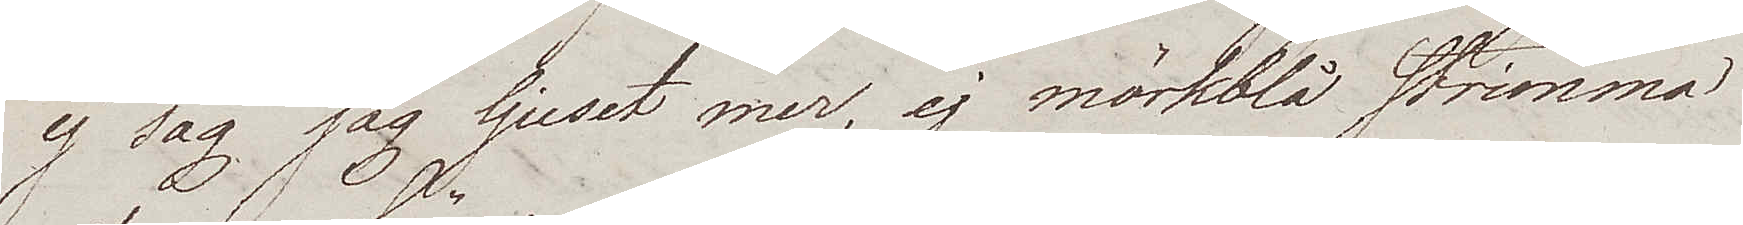ej såg jag ljuset mer, ej mörkblå strimma,
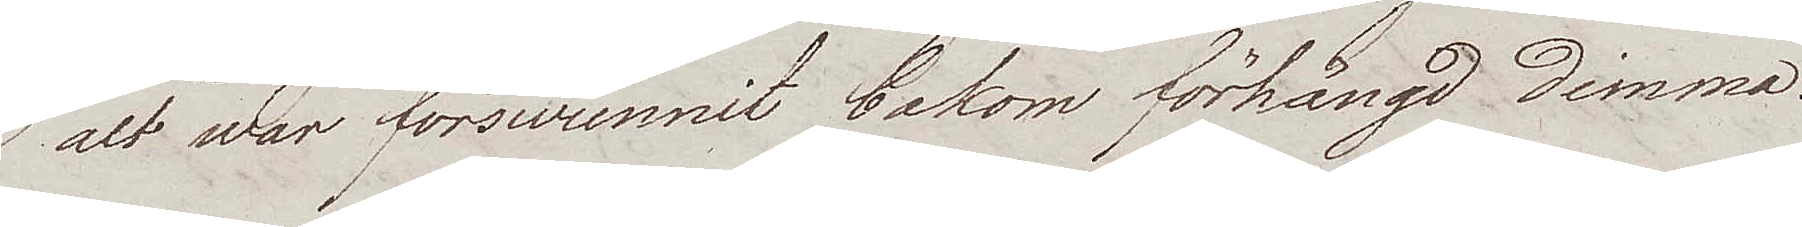alt war förswunnit bakom förhängd dimma.
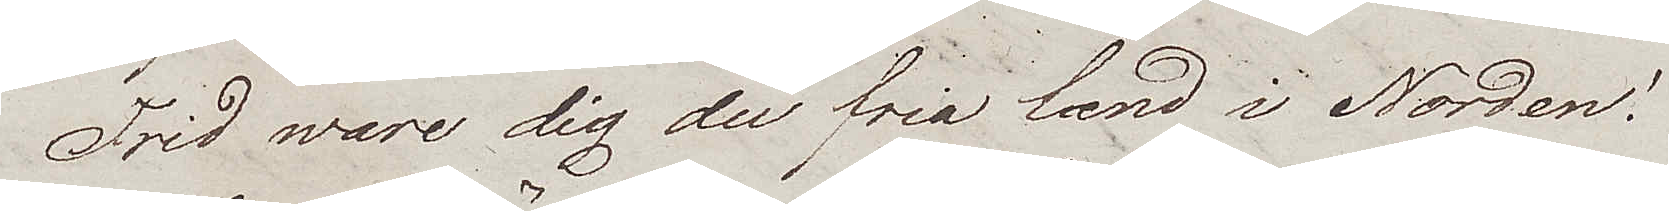Frid ware dig du fria land i Norden!
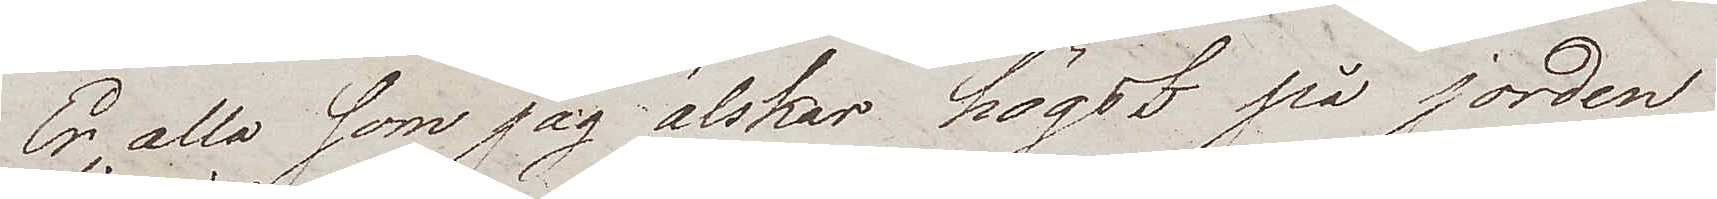Er alla som jag älskar högst på jorden
